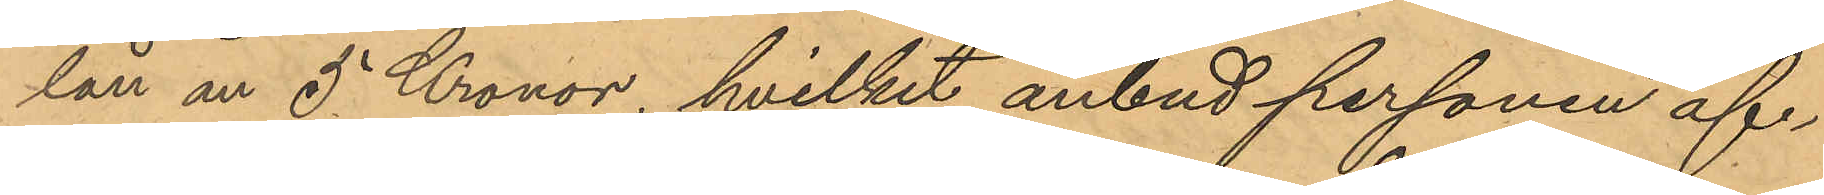lån än 5 Kronor, hvilket anbud personen äf¬
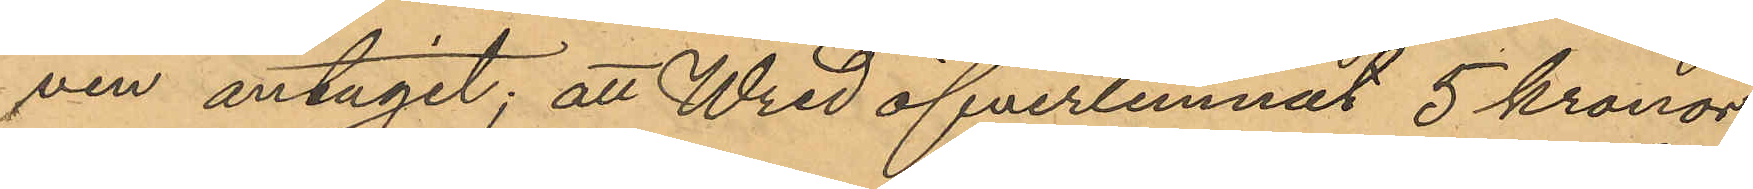ven antagit; att Wred öfverlemnat 5 kronor
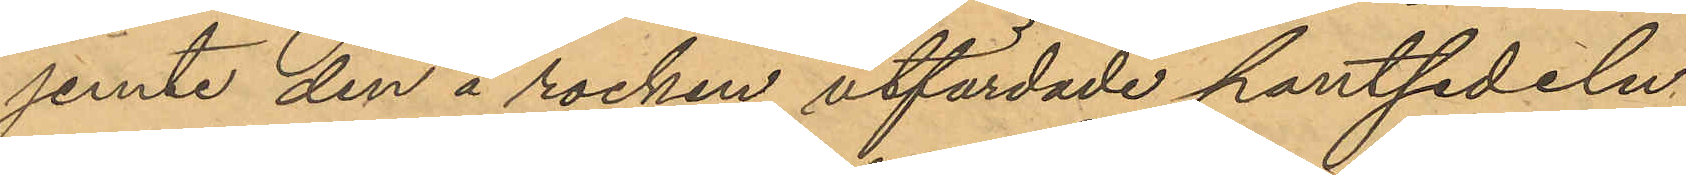jemte den å rocken utfärdade pantsedeln
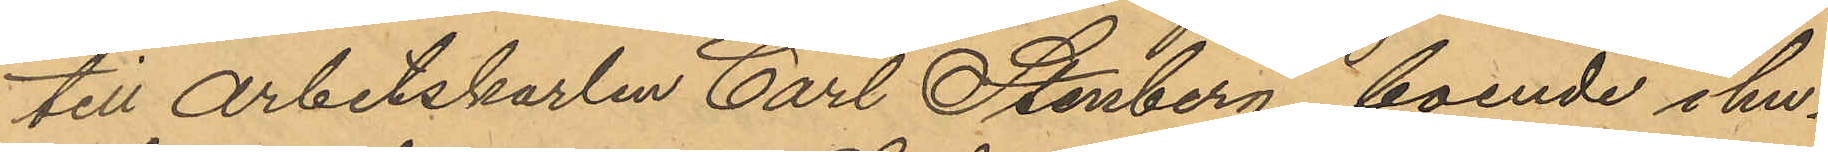till Arbetskarlen Carl Stenberg, boende i hu¬
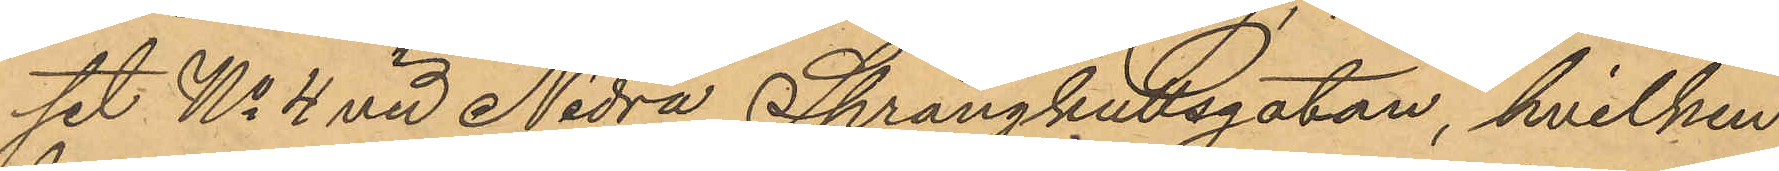set No 4 vid Nedra Sprängkullsgatan, hvilken
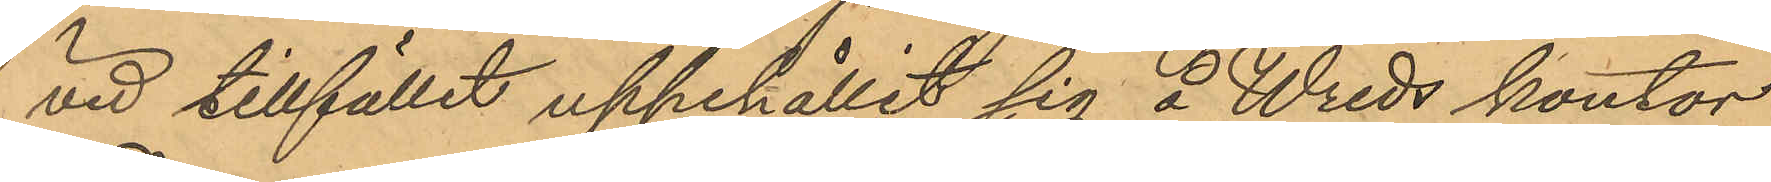vid tillfället uppehållit sig å Wreds kontor,
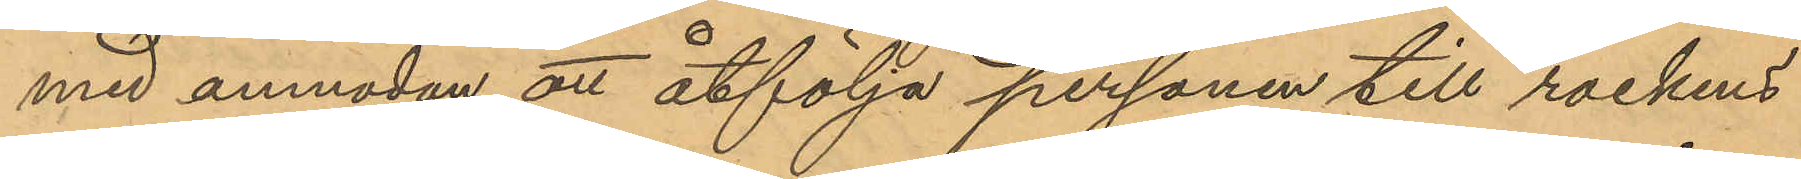med anmodan att åtfölja personen till rockens
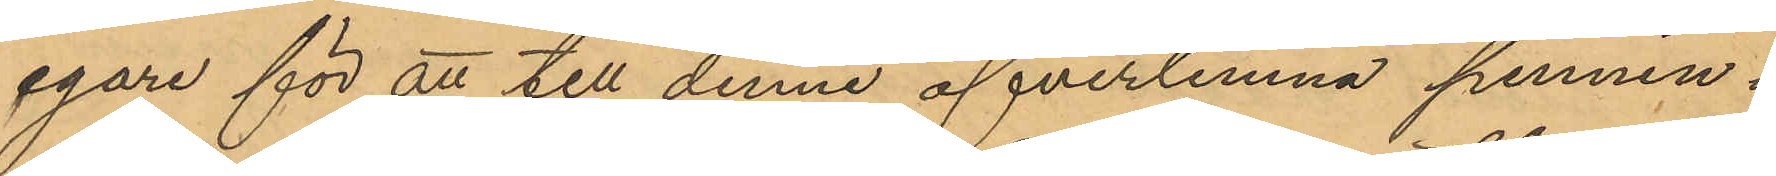egare för att till denne öfverlemna pennin¬
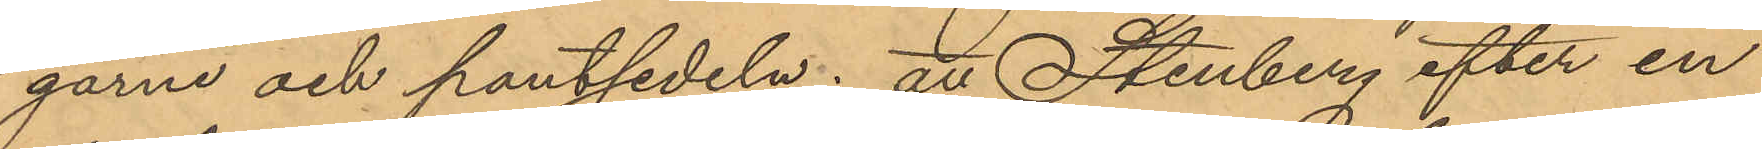garne och pantsedeln; att Stenberg efter en
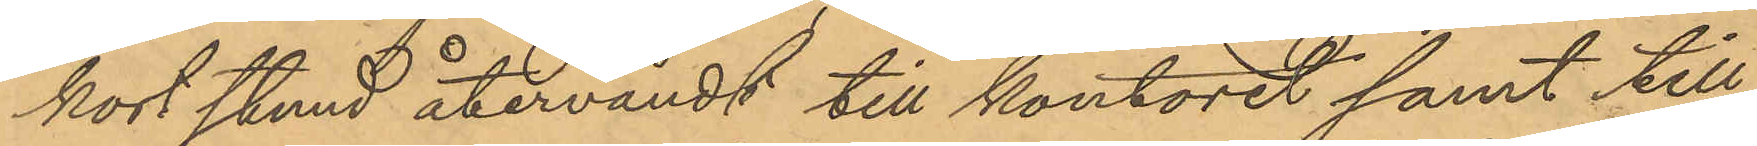kort stund återvändt till kontoret samt till
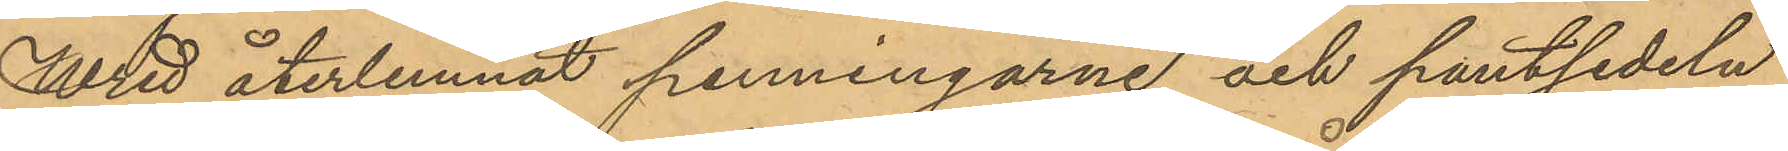Wred återlemnat penningarne och pantsedeln
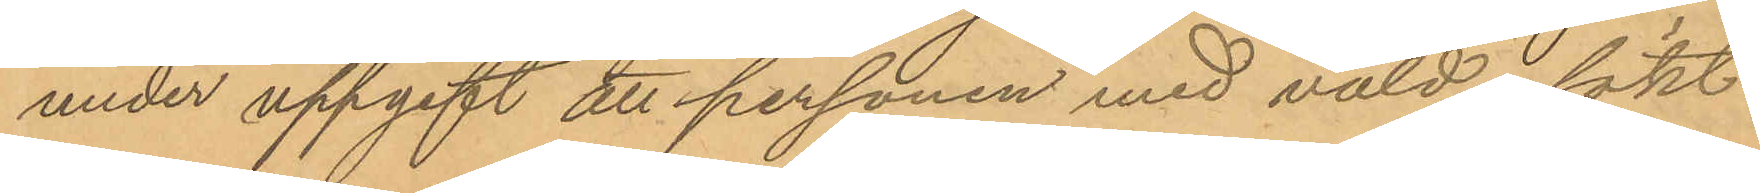under uppgift att personen med våld sökt
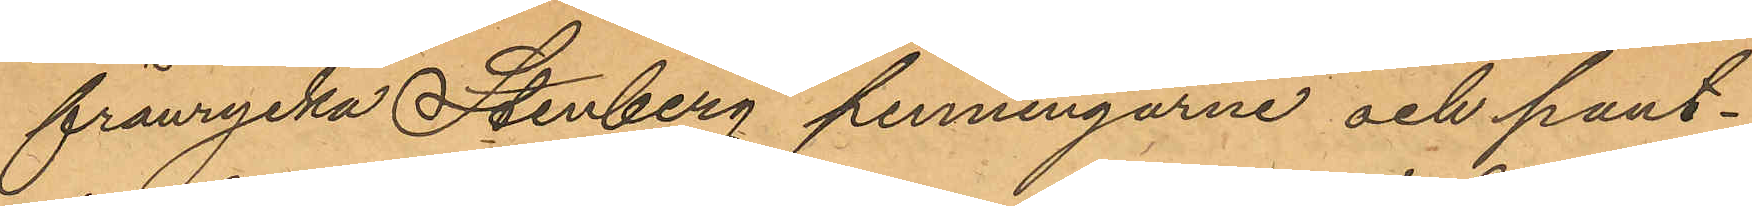frånrycka Stenberg penningarne och pant¬
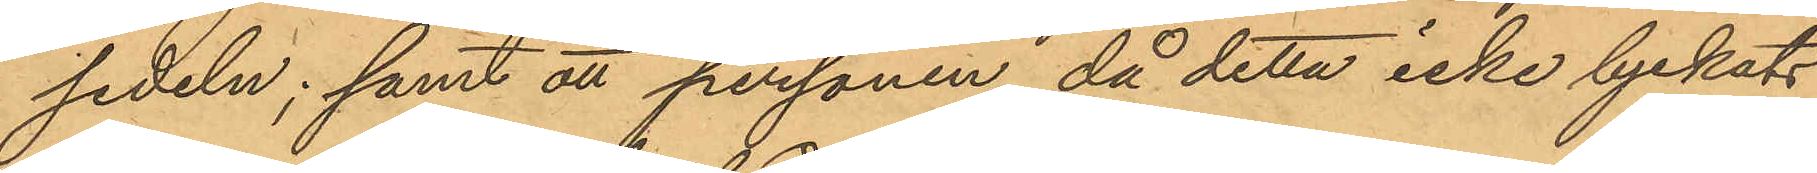sedeln; samt att personen, då detta icke lyckats
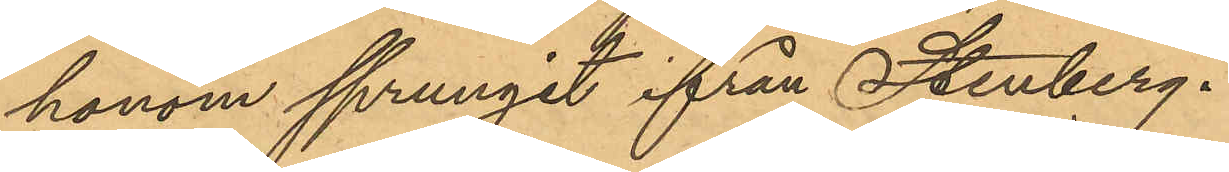honom sprungit ifrån Stenberg.
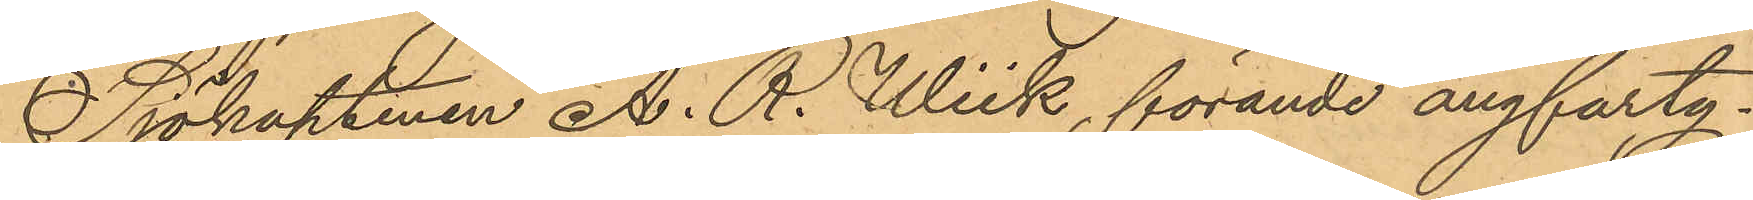Sjökaptenen A. R. Wiik, förande ångfarty¬
